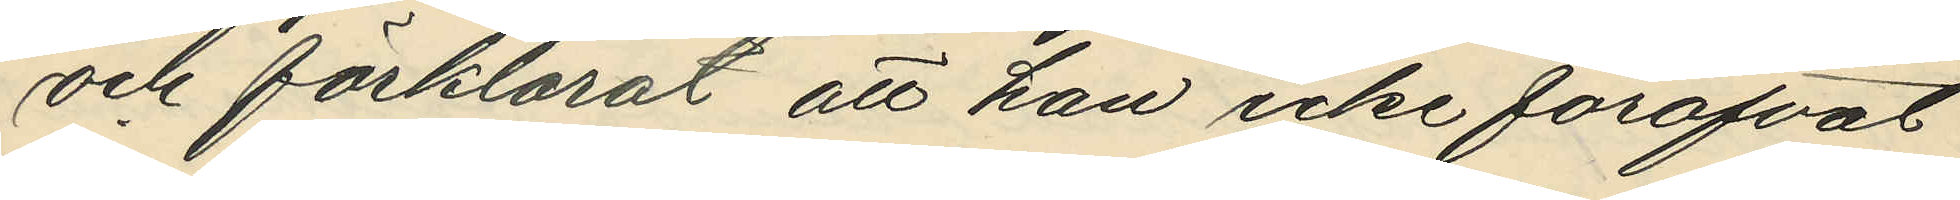och förklarat att han icke föröfvat
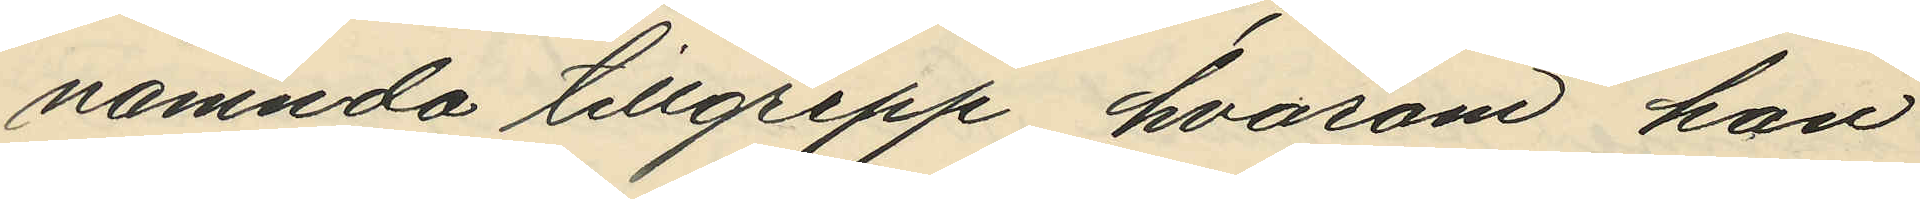nämnda tillgrepp, hvarom han
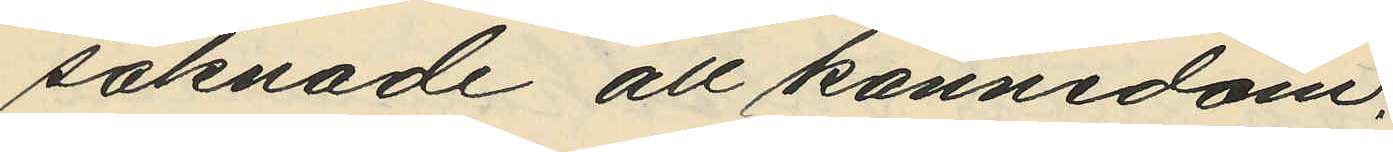saknade all kännedom.
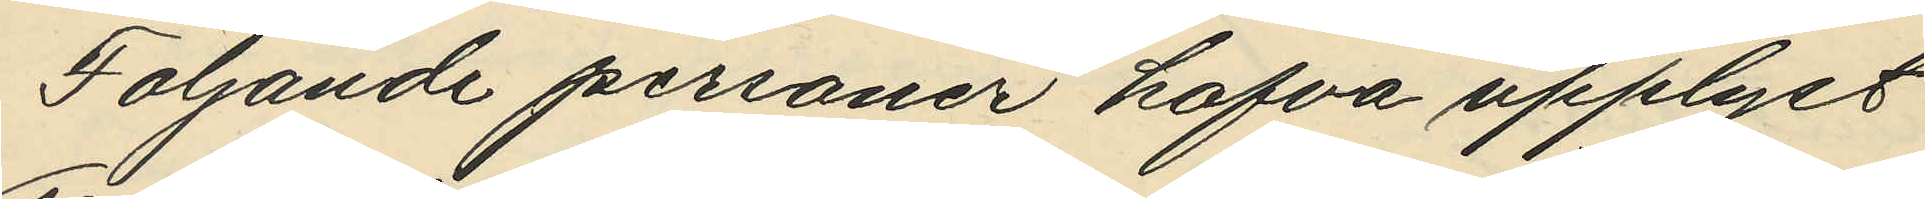Följande personer hafva upplyst
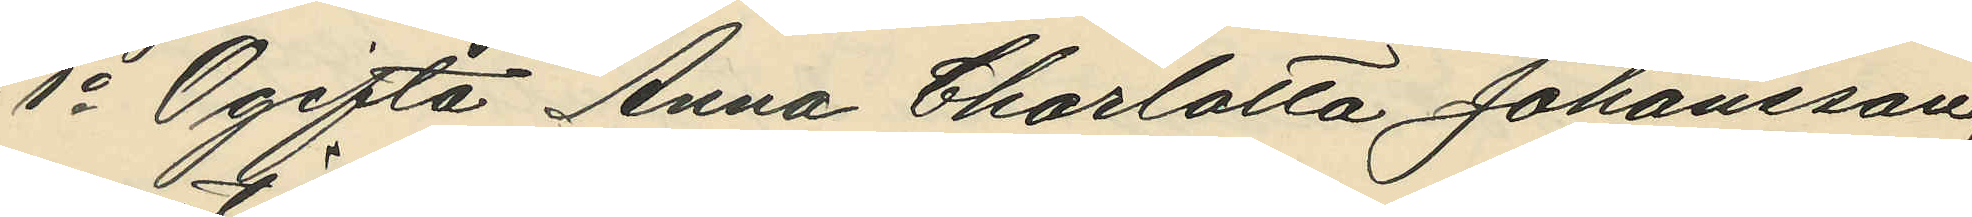1o Ogifta Anna Charlotta Johansson,
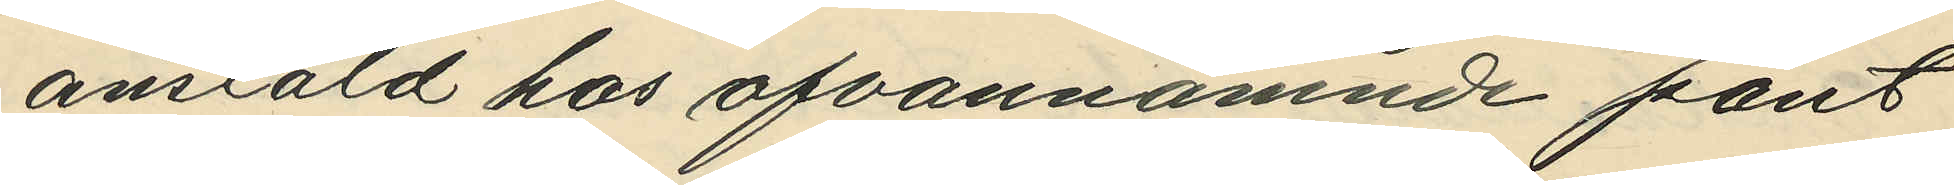anstäld hos ofvannämnde pant¬
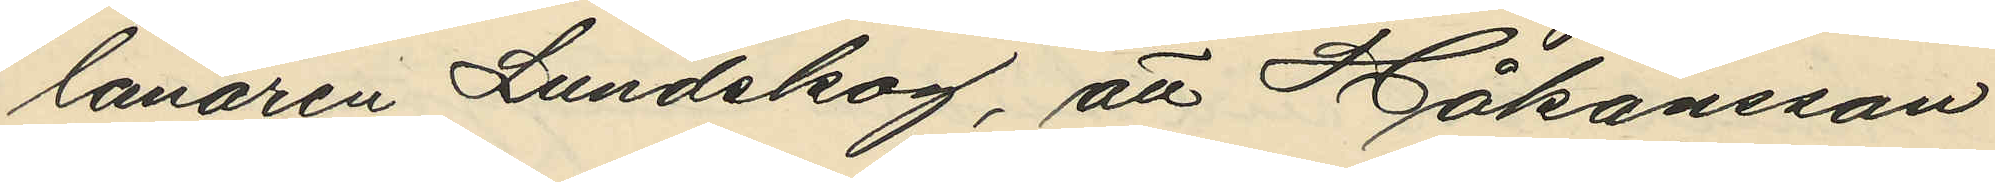lånaren Lundskog, att Håkansson
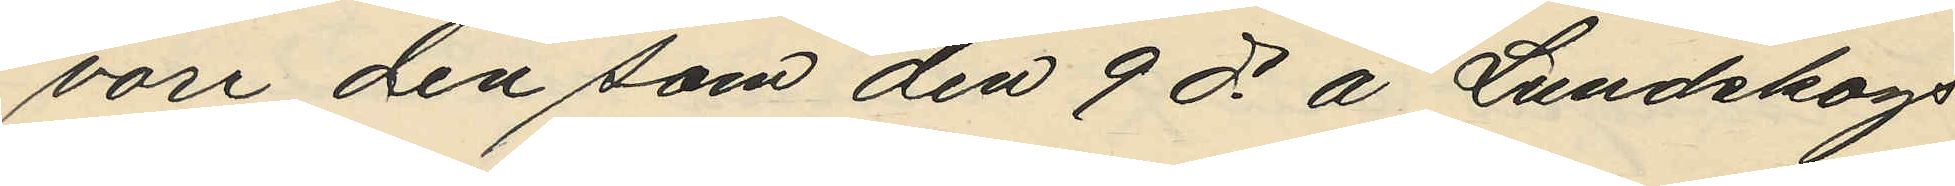vore den som den 9 ds å Lundskogs
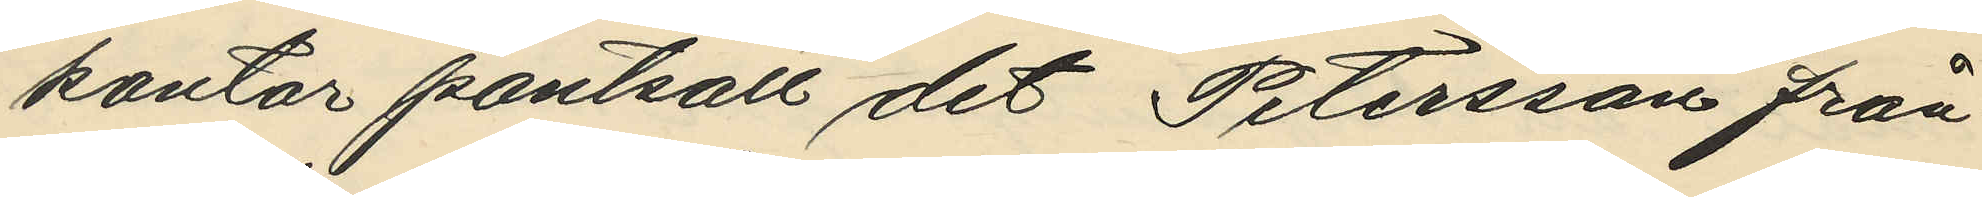kontor pantsatt det Petersson från¬
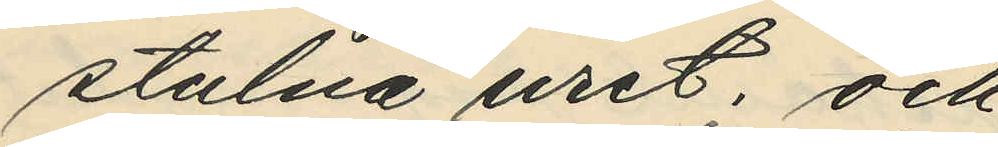stulna uret; och
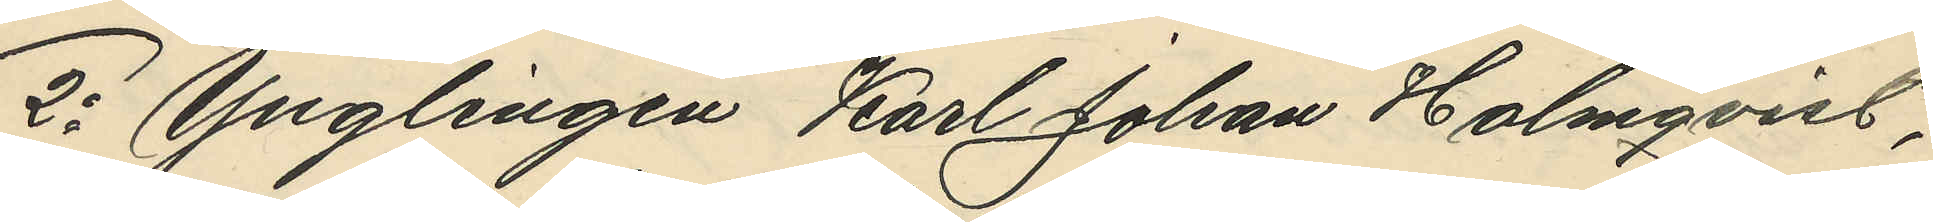2o Ynglingen Karl Johan Holmqvist,
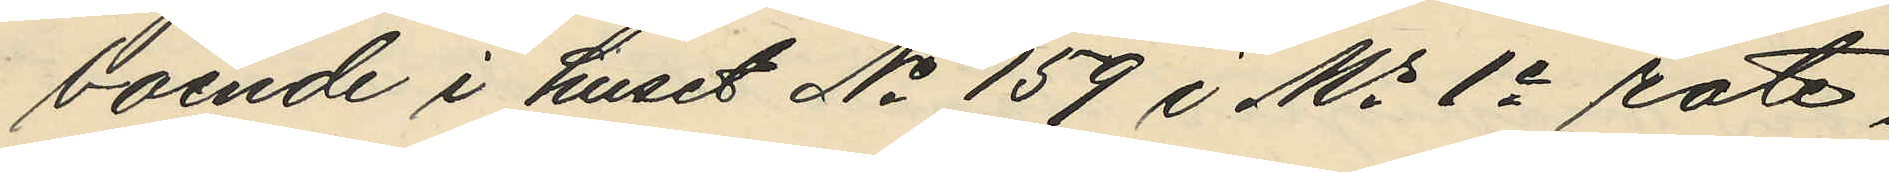boende i huset No 159 i Ms 1e rote,
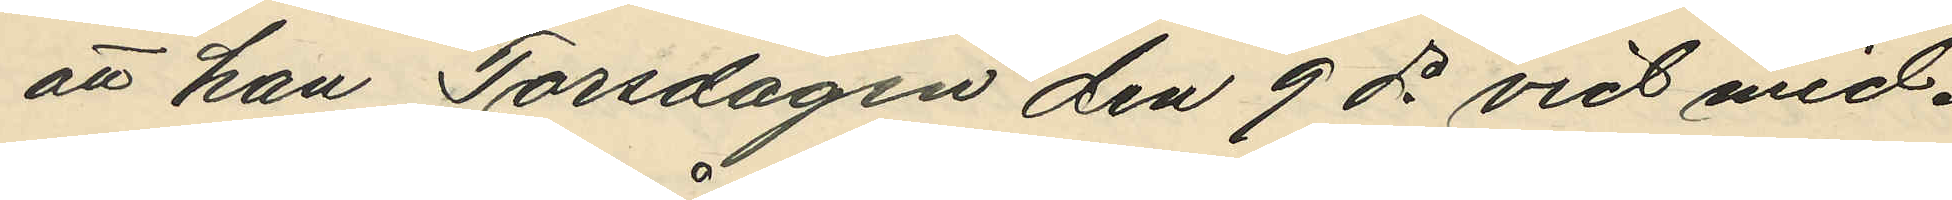att han Torsdagen den 9 ds vid mid¬
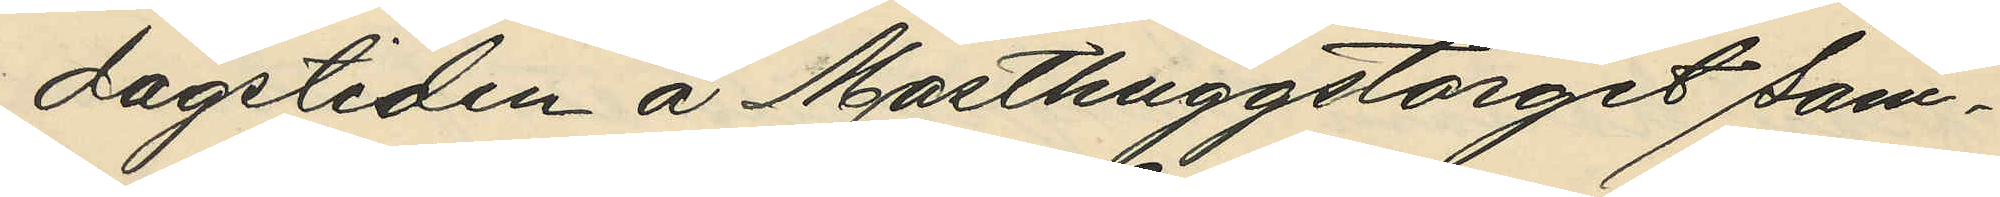dagstiden å Masthuggstorget sam¬
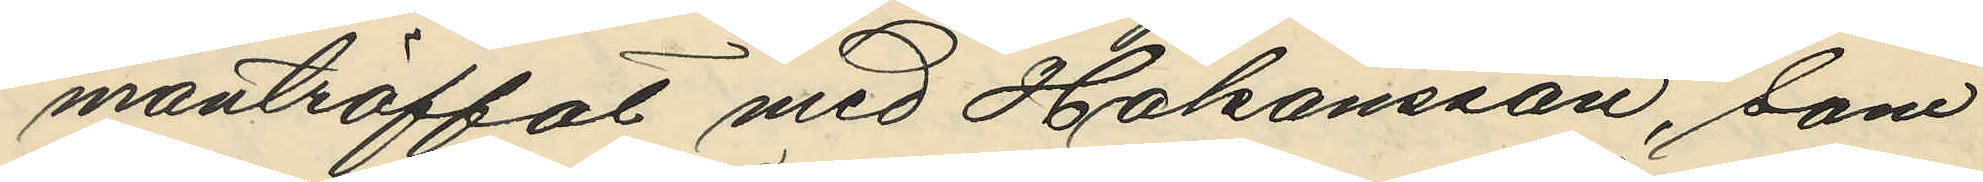manträffat med Hakansson, som
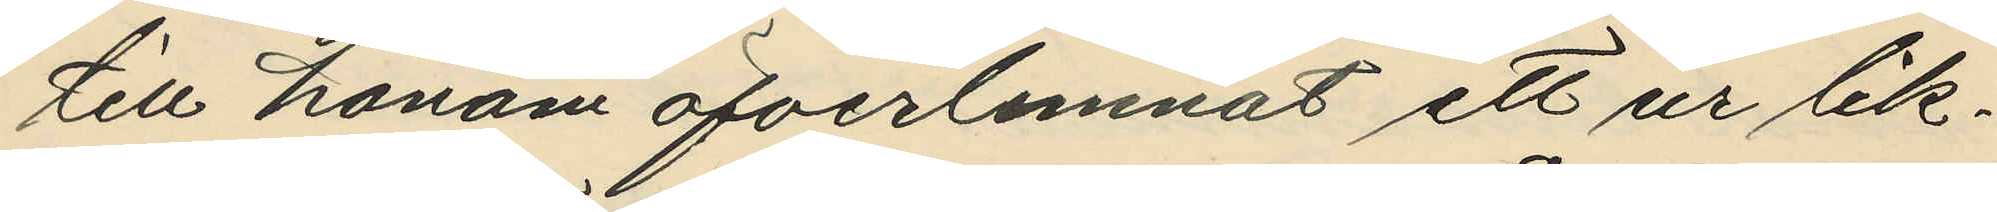till honom öfverlemnat ett ur lik¬
